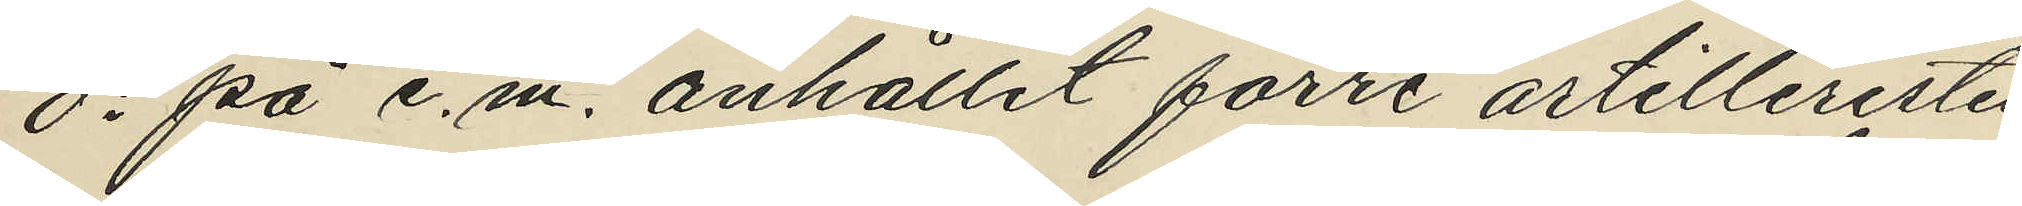ds på e.m. anhållit förre artilleristen 
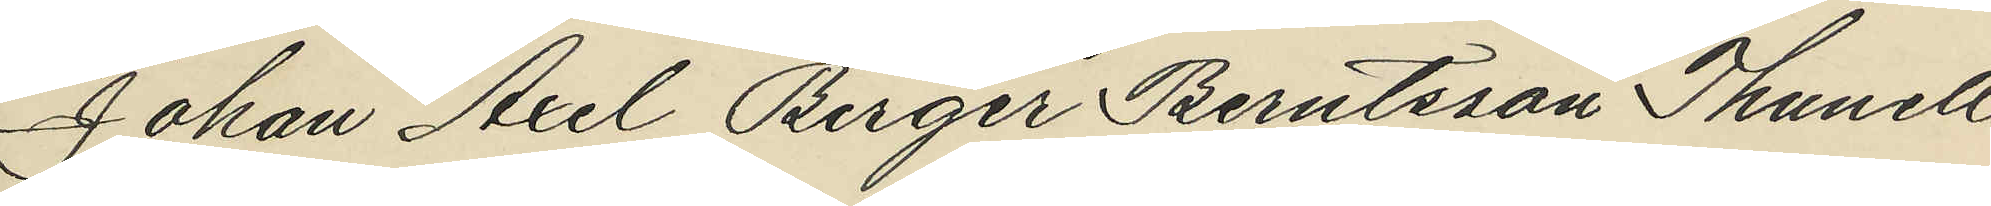Johan Axel Berger Berntsson Thunell
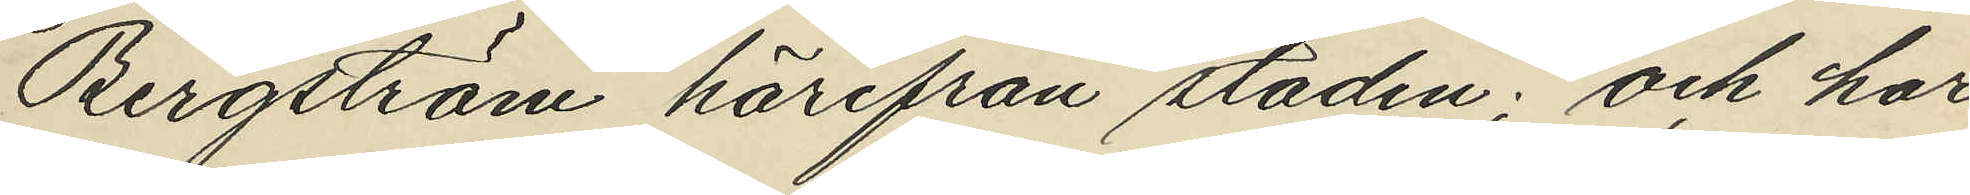Bergström härifrån staden; och har
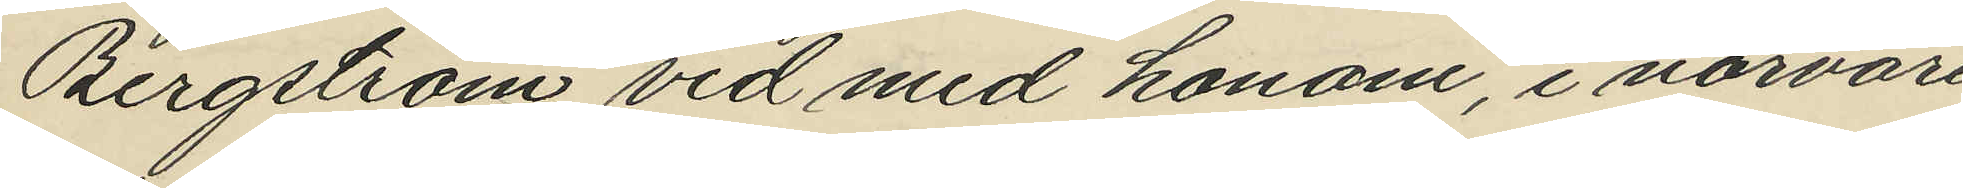Bergström vid med honom, i närvaro
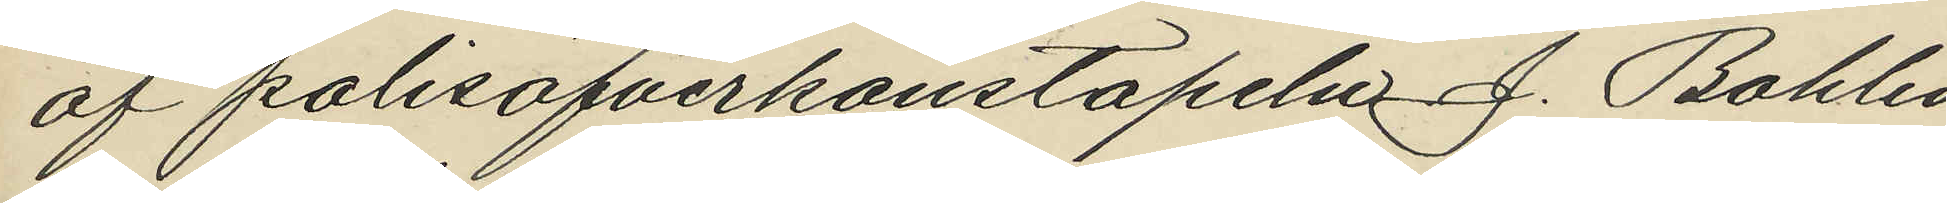af polisöfverkonstapeln J. Bohlin
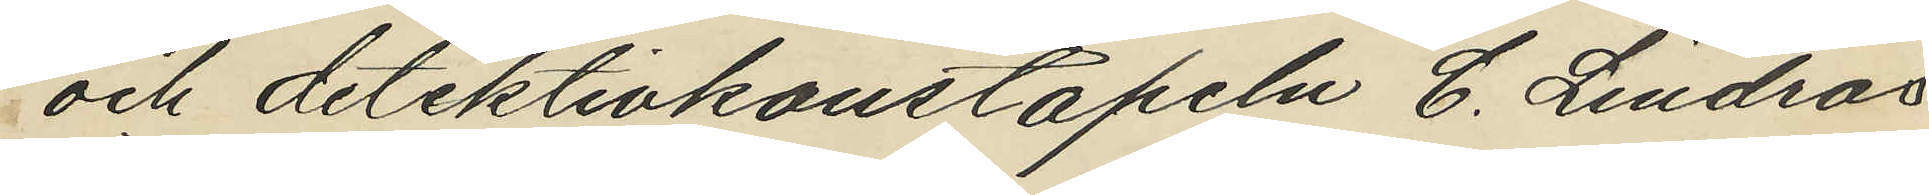och detektivkonstapeln C. Lindros
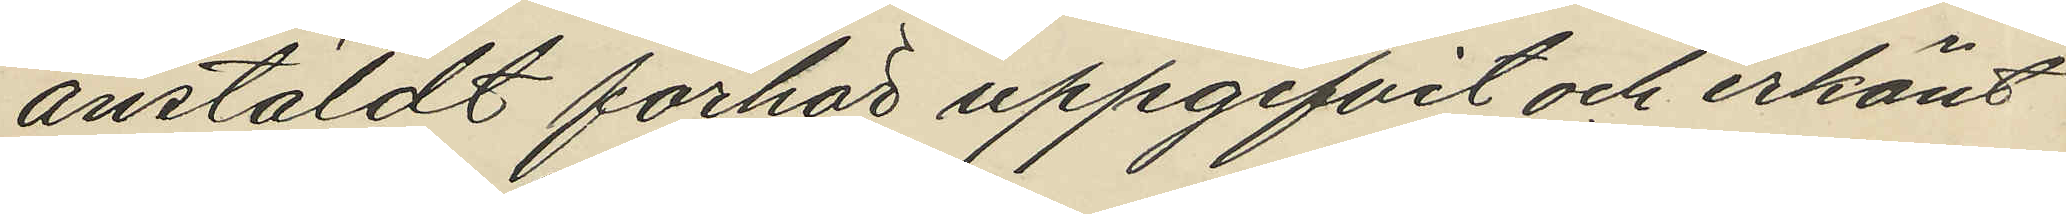anstäldt förhör uppgifvit och erkänt
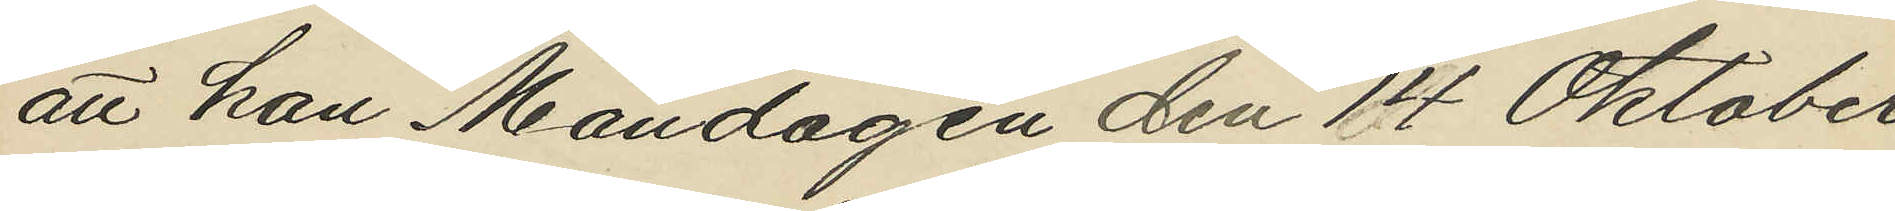att han Måndagen den 14 Oktober
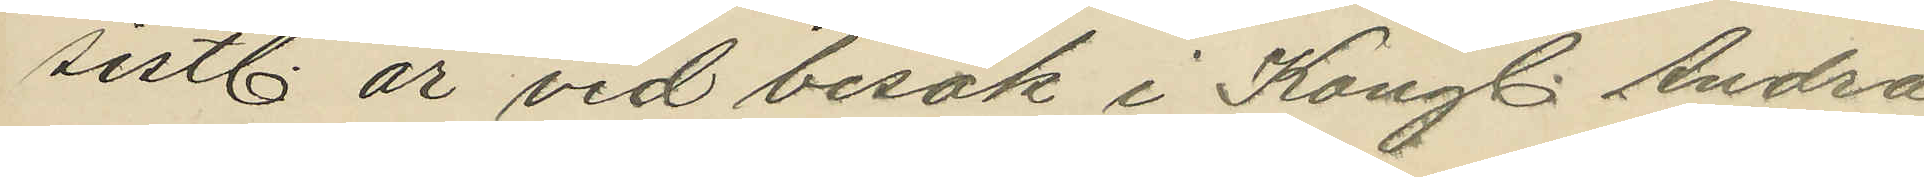sistl. år vid besök i Kongl. Andra
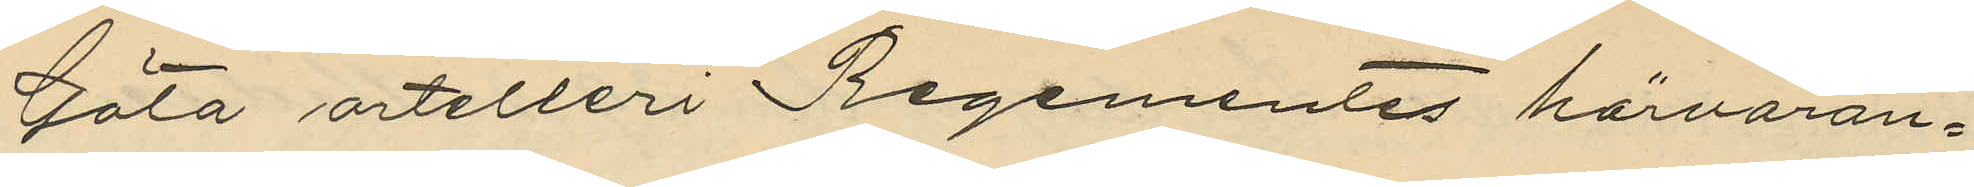Göta artelleri Regementes härvaran¬
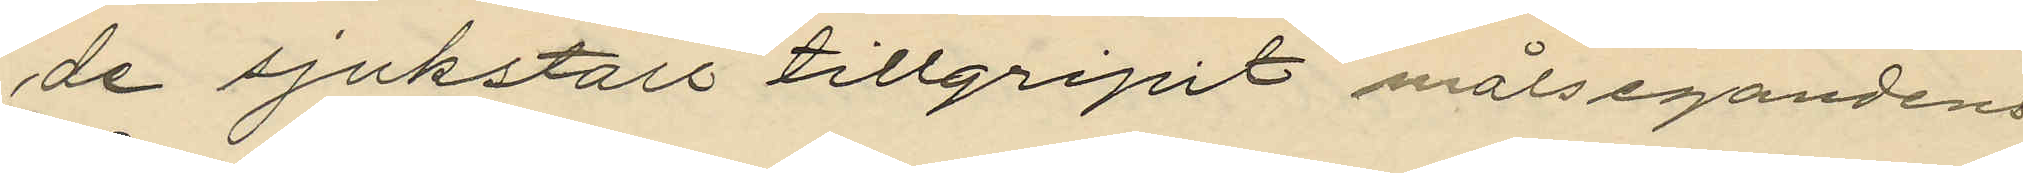de sjukstall tillgripit målsegandens
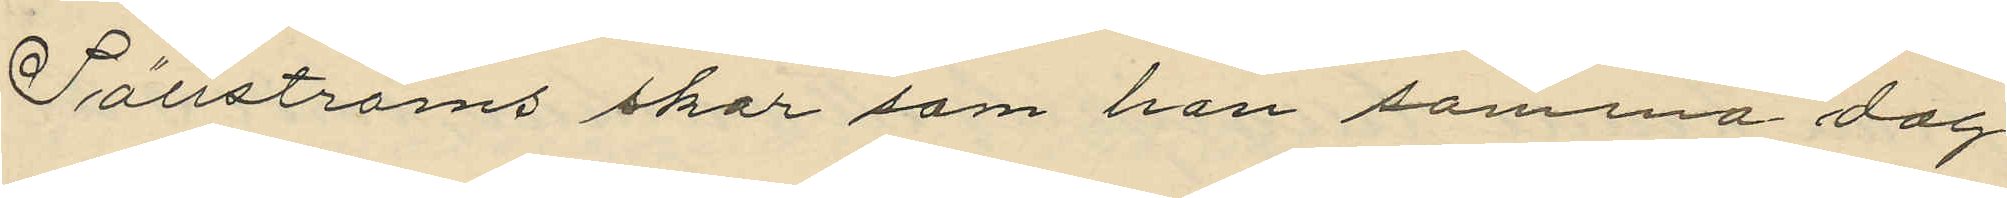Sällströms skor som han samma dag
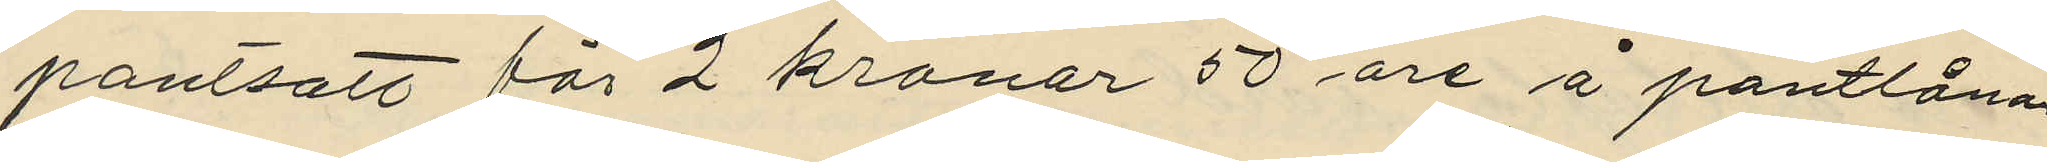pantsatt för 2 kronor 50 öre å pantlåna¬
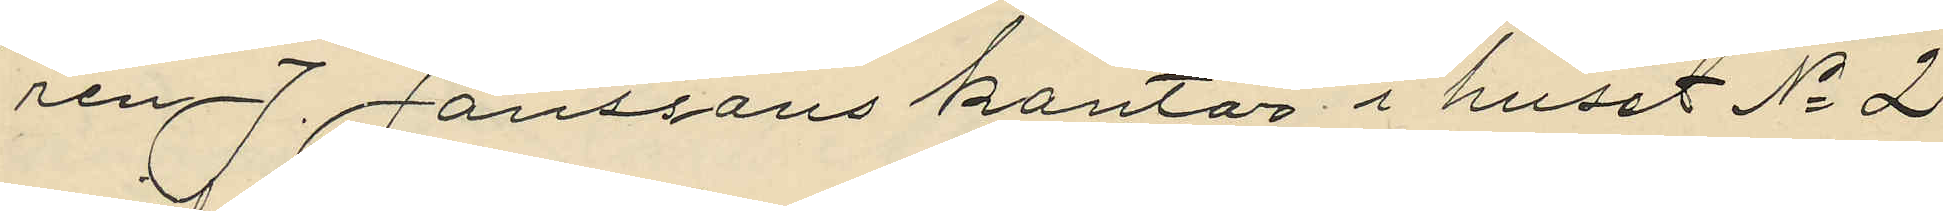ren J. Janssons kontor i huset No 2
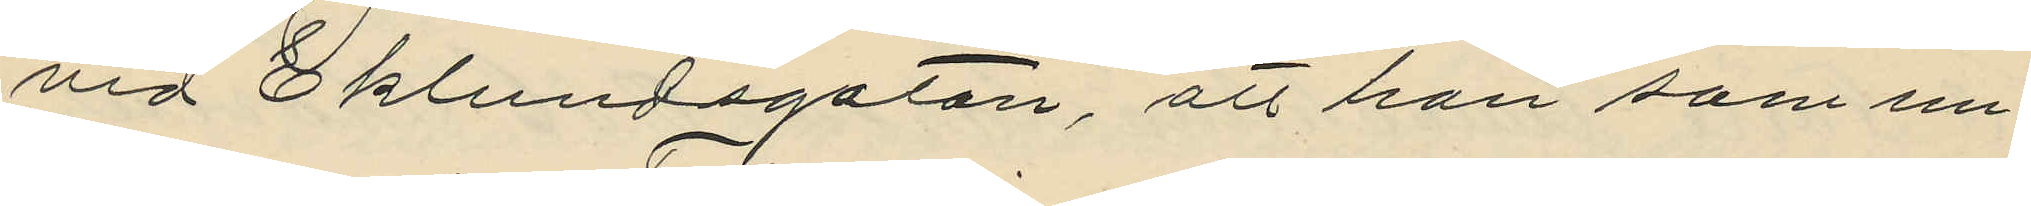vid Eklundsgatan, att han som un¬
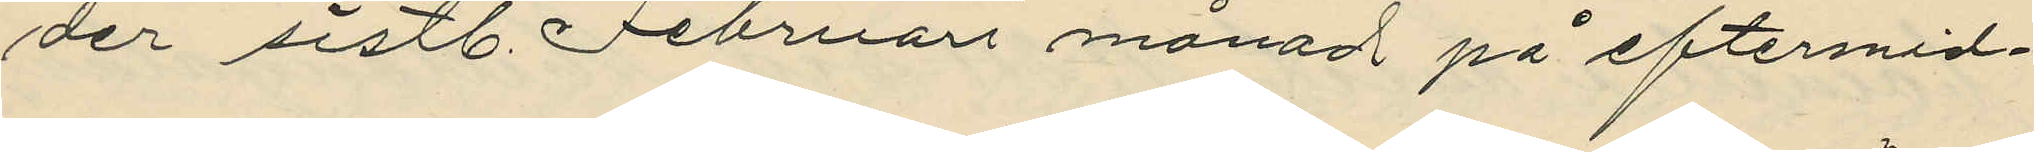der sistl. Februari månad på eftermid¬
